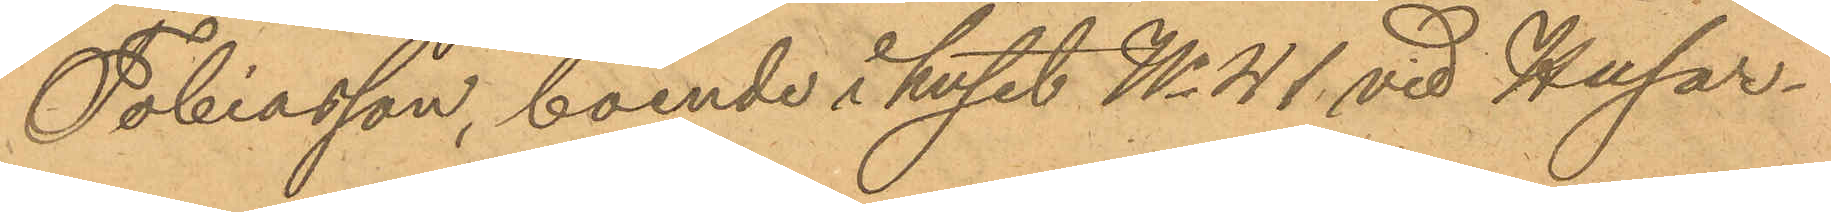Tobiasson, boende i huset No 41 vid Husar¬
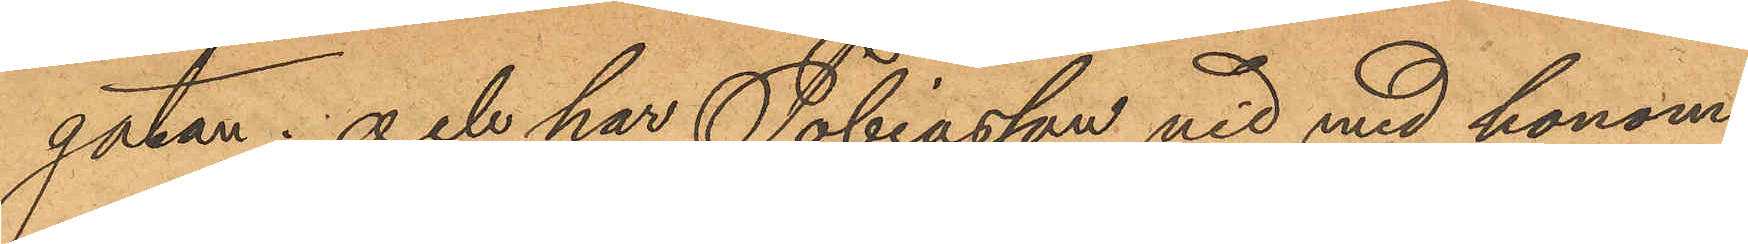gatan; och har Tobiasson vid med honom
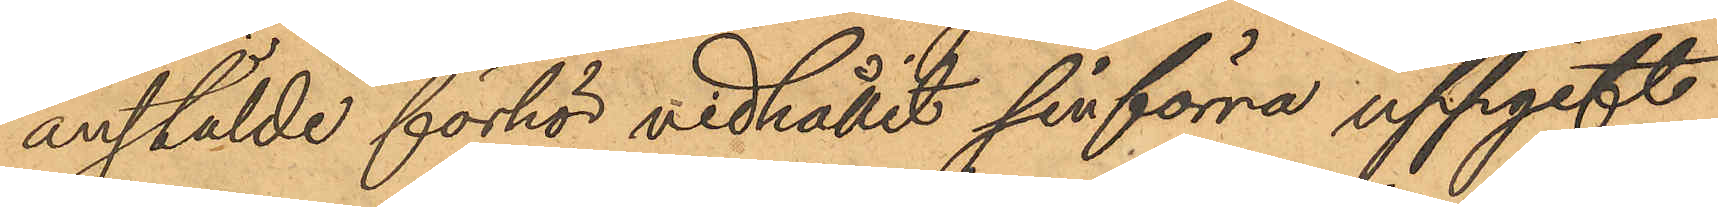anstälde förhör vidhållit sin förra uppgift
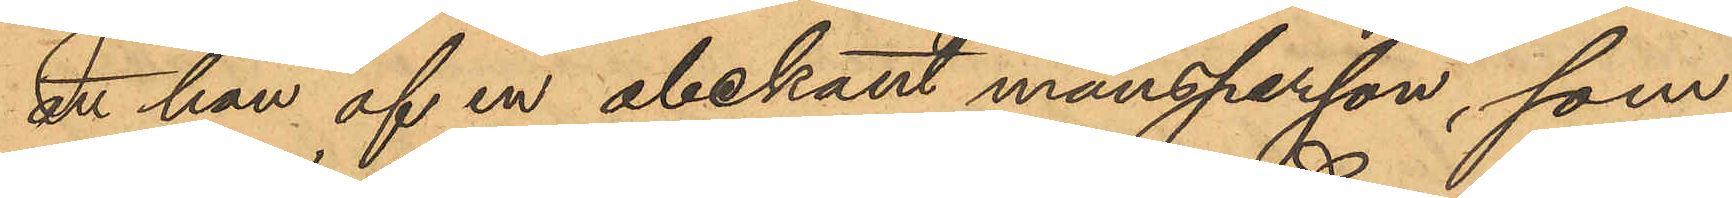att han af en obekant mansperson, som
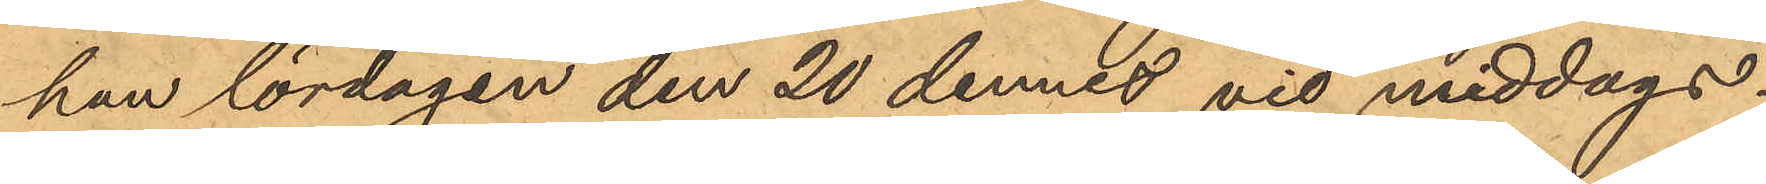han lördagen den 20 dennes vid middags¬
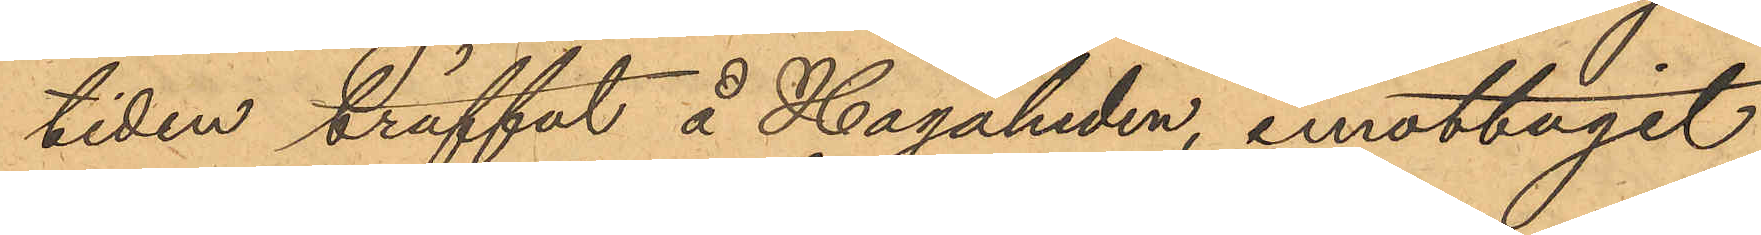tiden träffat å Hagaheden, emottagit
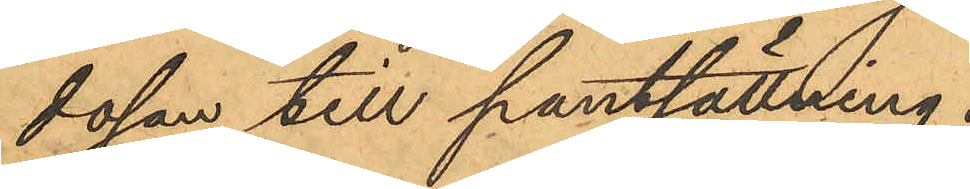dosan till pantsättning.
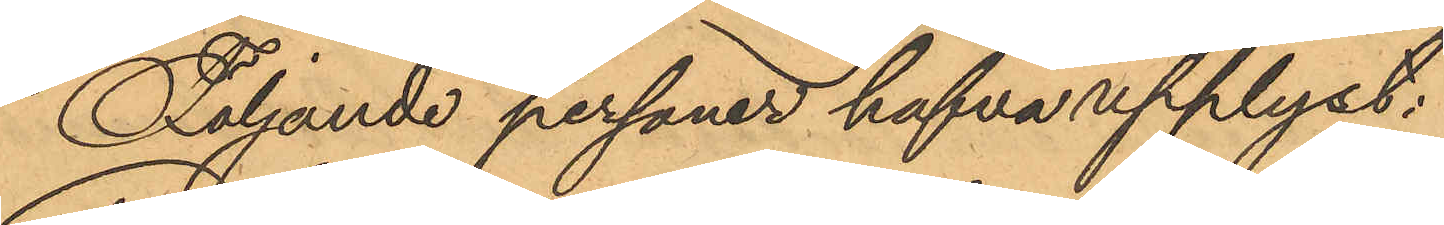Följande personer hafva upplyst:
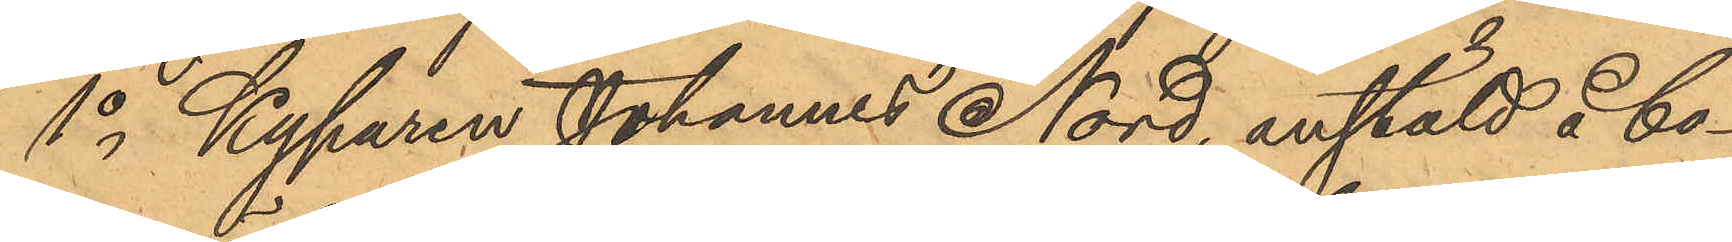1o Kyparen Johannes Nord, anstäld å bo¬
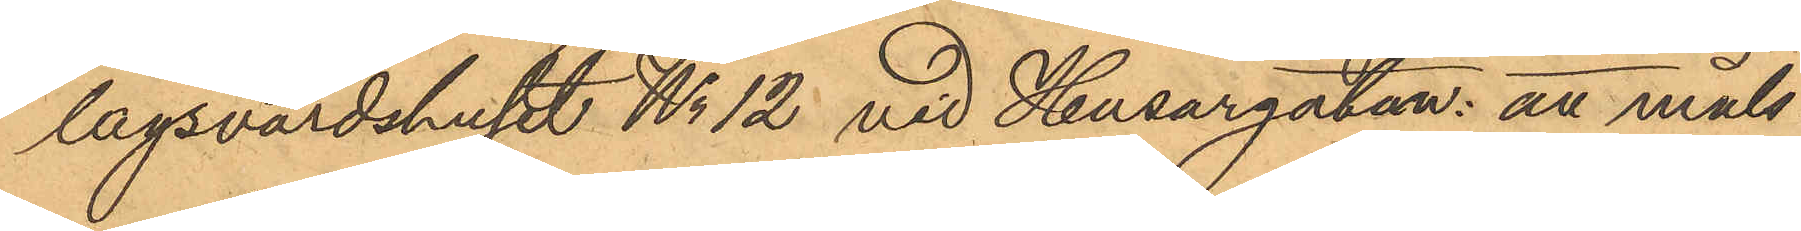lagsvärdshuset No 12 vid Husargatan: att måls¬
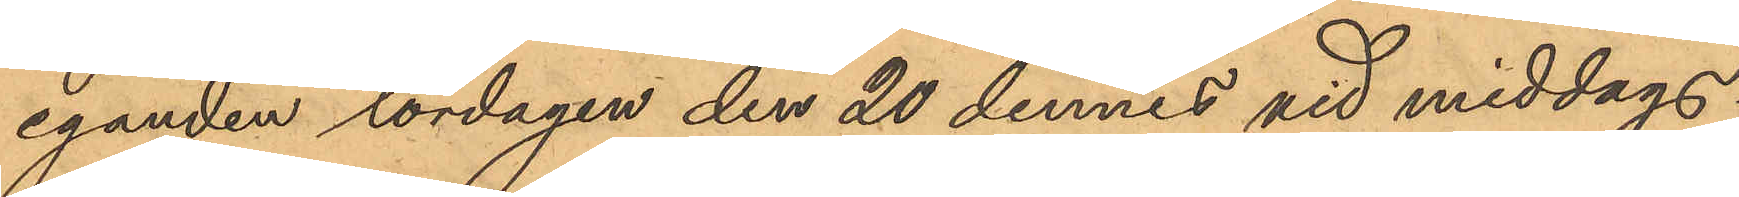eganden lördagen den 20 dennes vid middags¬
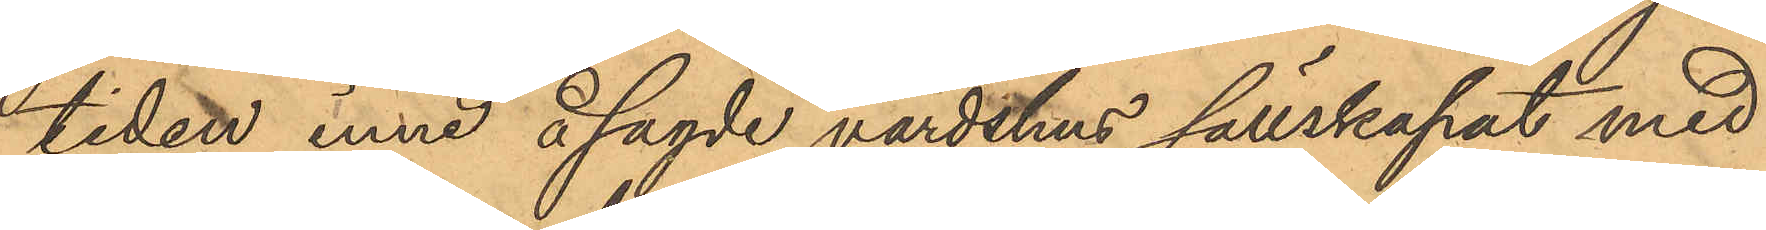tiden inne å sagde värdshus sällskapat med
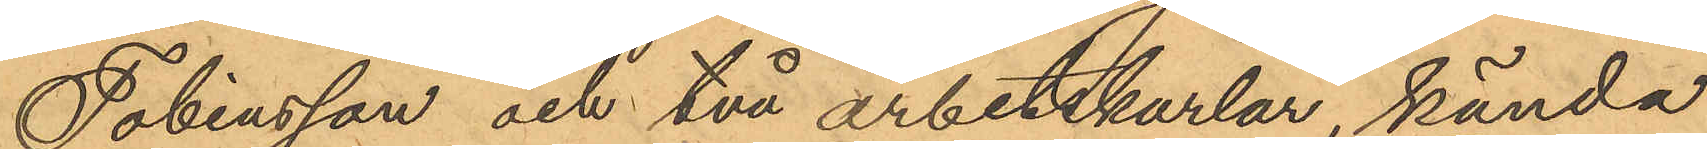Tobiasson och två arbetskarlar, kända
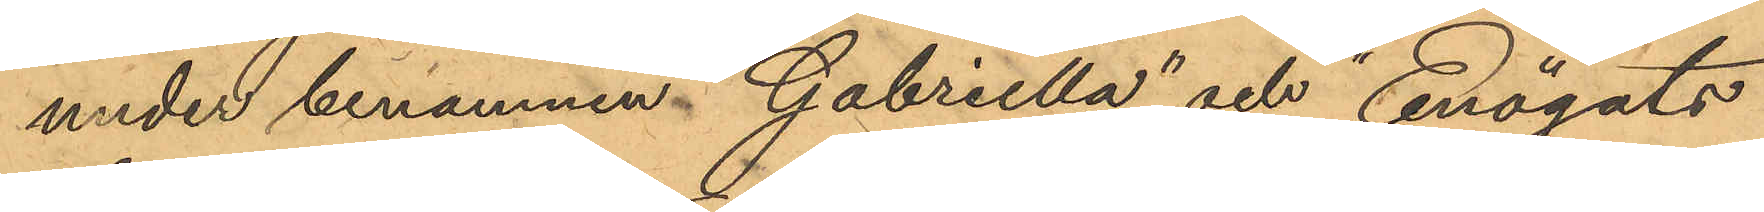under binamnen "Gabriella" och "Enögats
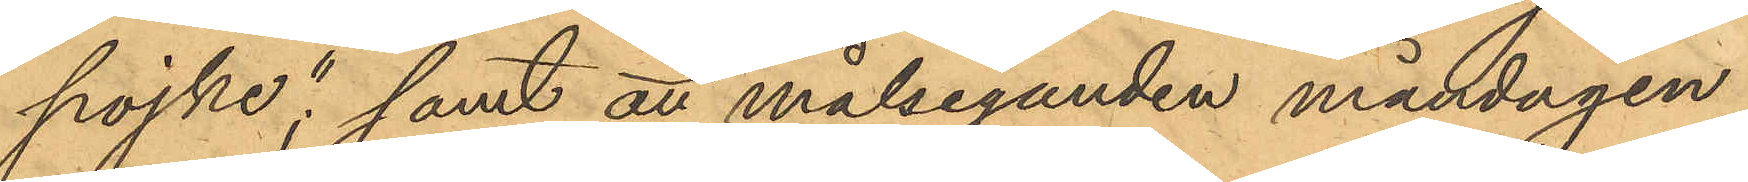pojke", samt att målseganden måndagen
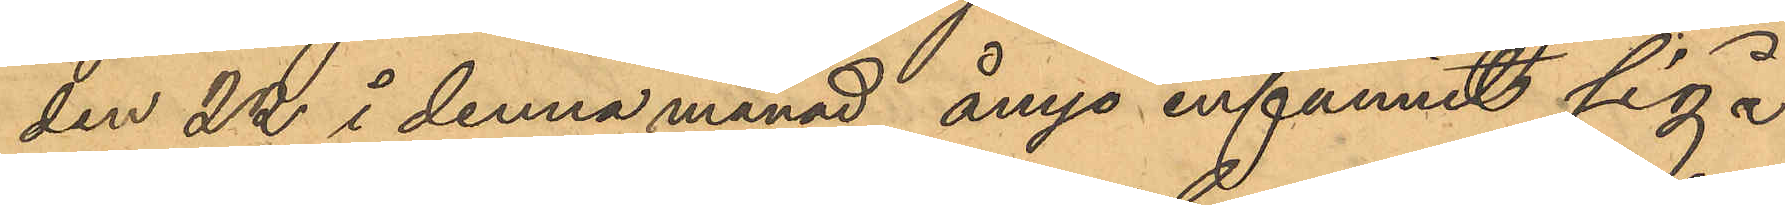den 22 i denna månad ånyo infunnit sig å
